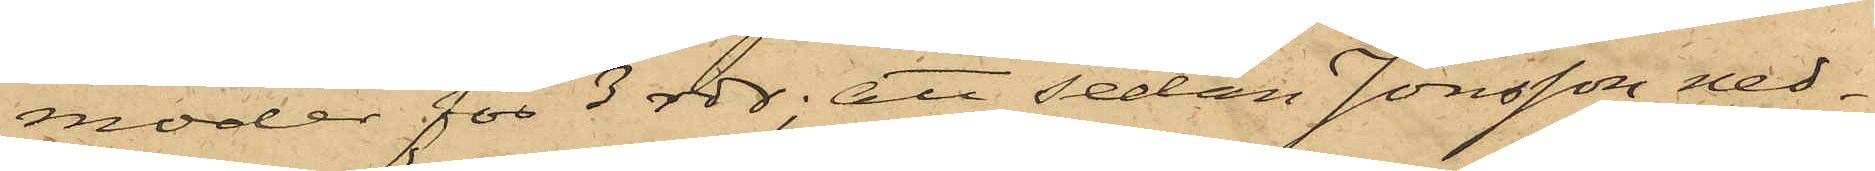moder för 3 rdr; att sedan Jonsson ned¬
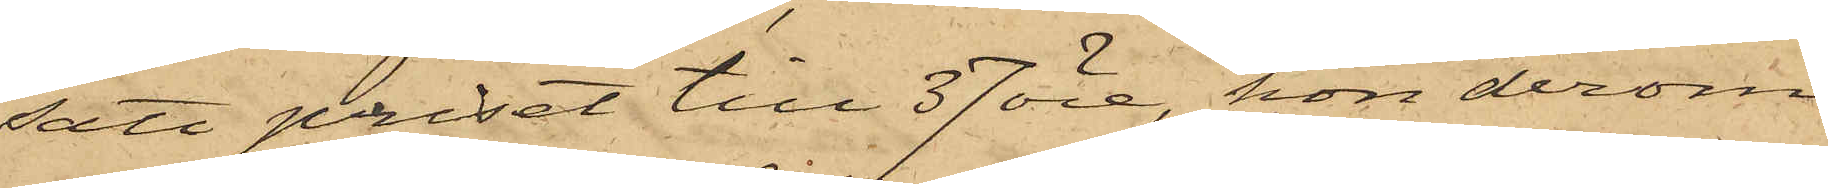satt priset till 37 öre, hon derom
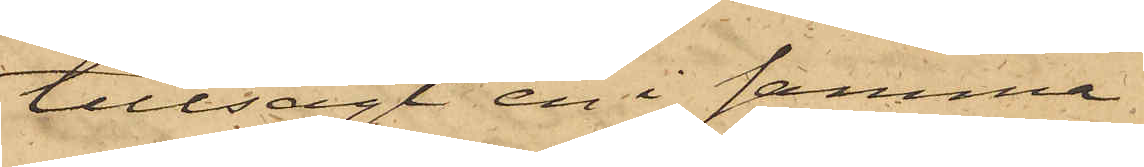tillsagt en i samma
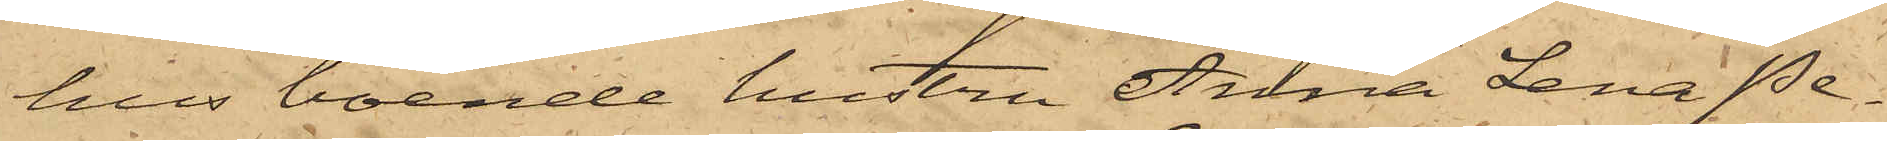hus boende hustru Anna Lena Pe¬
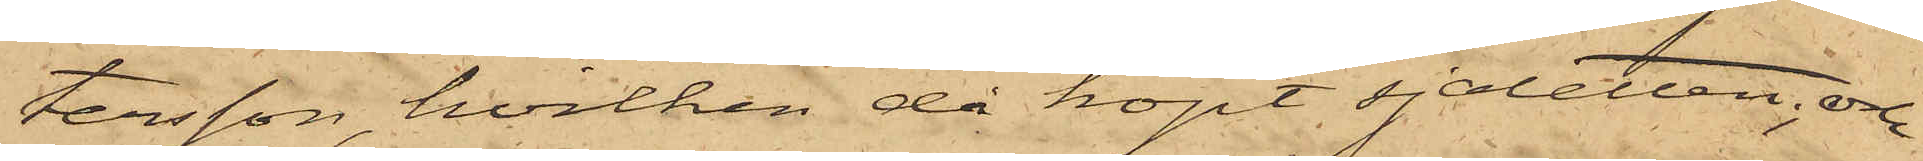tersson, hvilken då köpt sjaletten; och
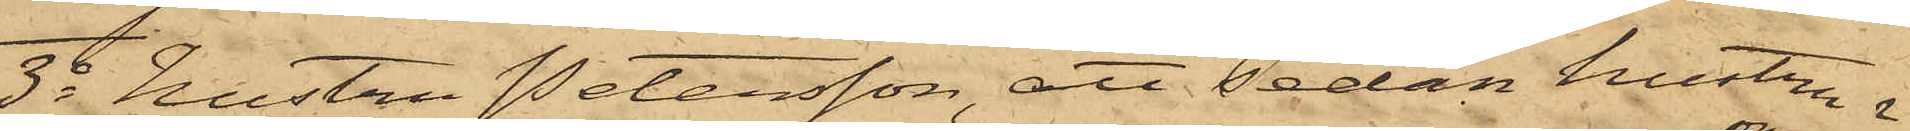3o hustru Petersson, att sedan hustru 
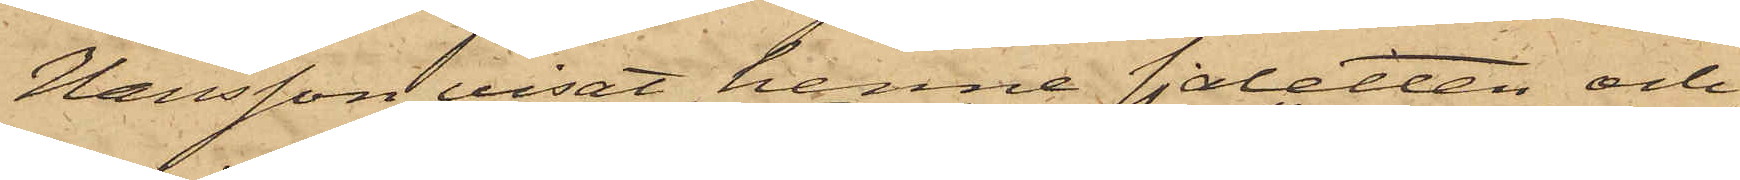Hansson visat henne sjaletten och
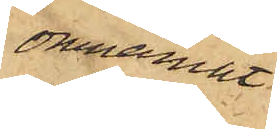omnämnt
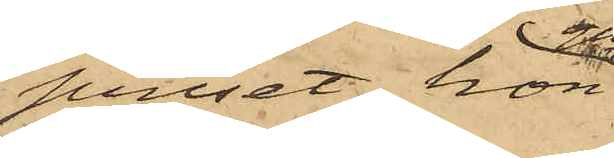priset, hon
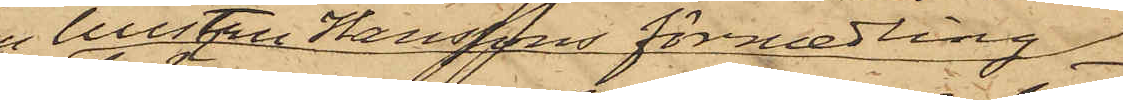gn hustru Hanssons förmedling.
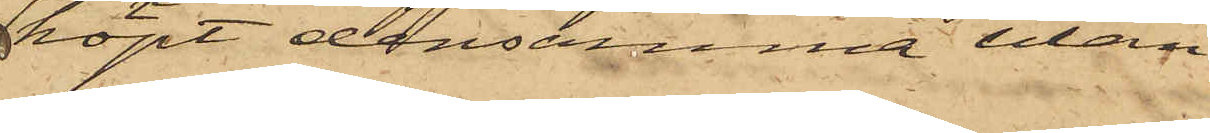köpt densamma utan
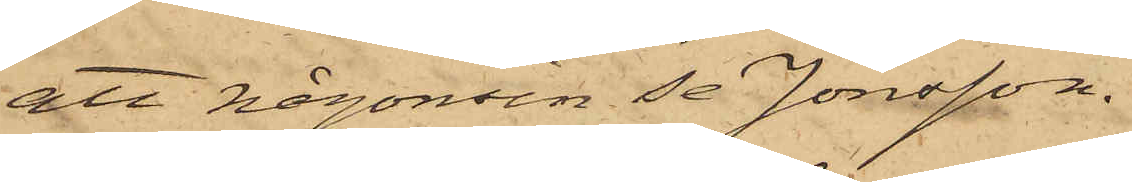att någonsin se Jonsson.
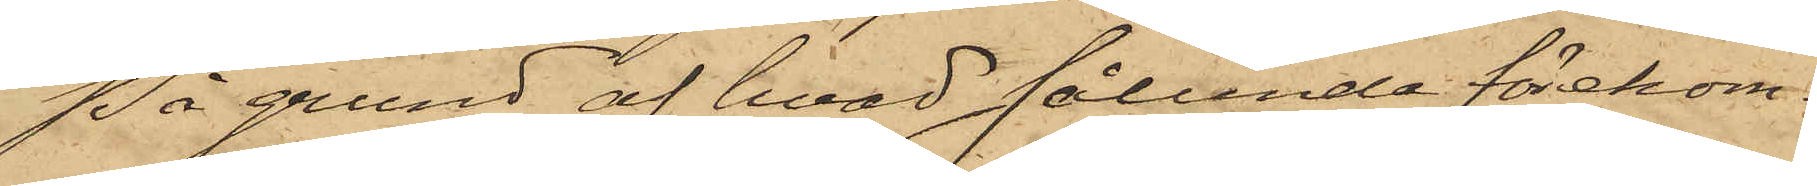På grund af hvad sålunda förekom¬
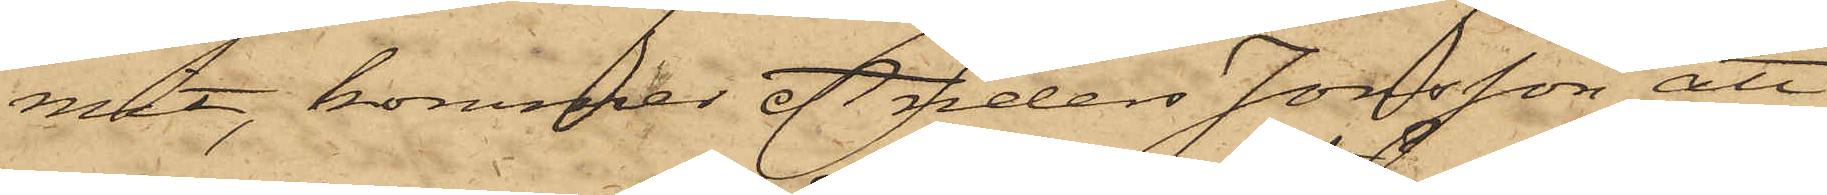mit, kommer Anders Jonsson att
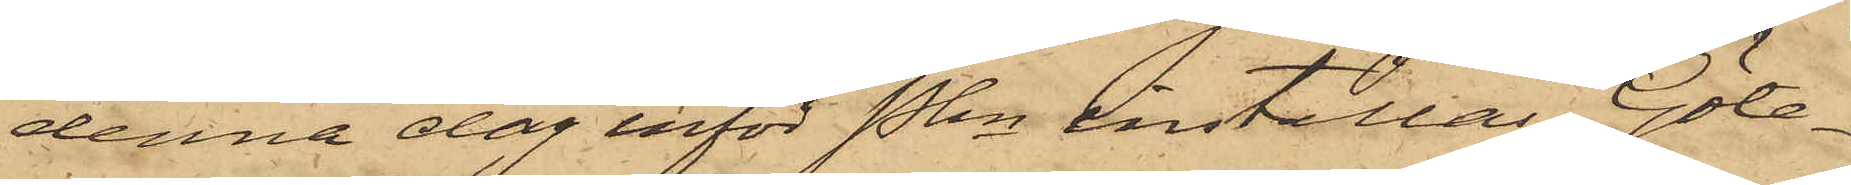denna dag inför Pkn inställas. Göte¬
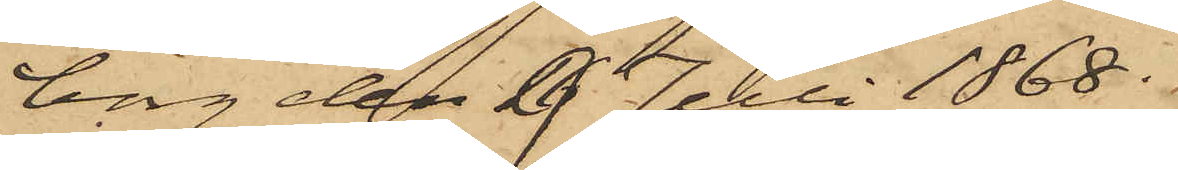borg den 16 Juli 1868.
